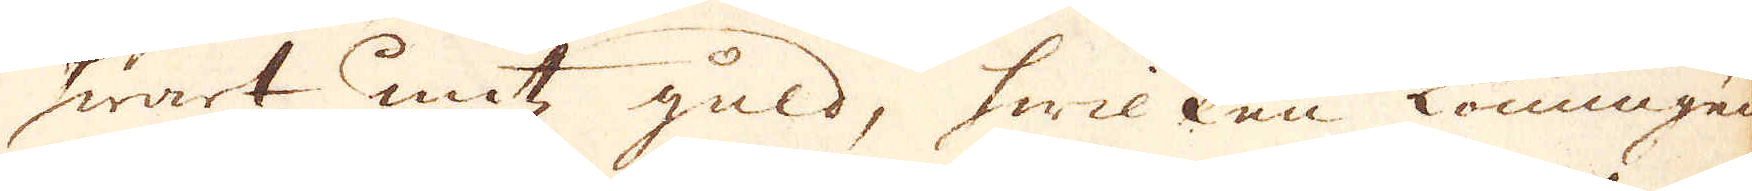hwart untz, guld, hwilken Konungens
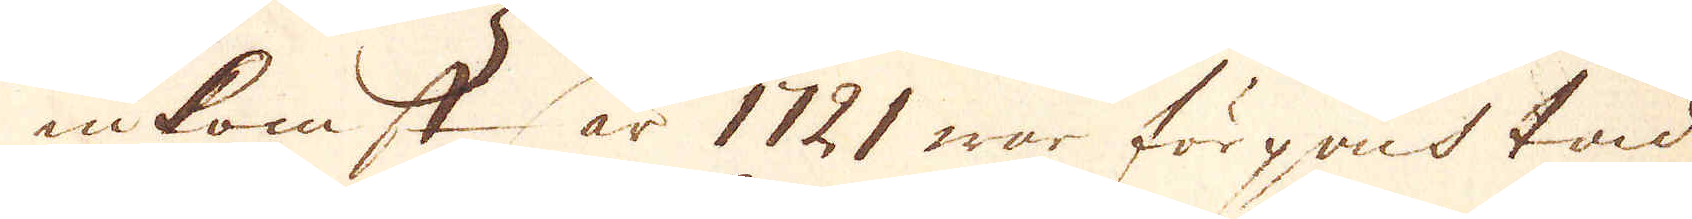inkomst år 1721 war förpachtad
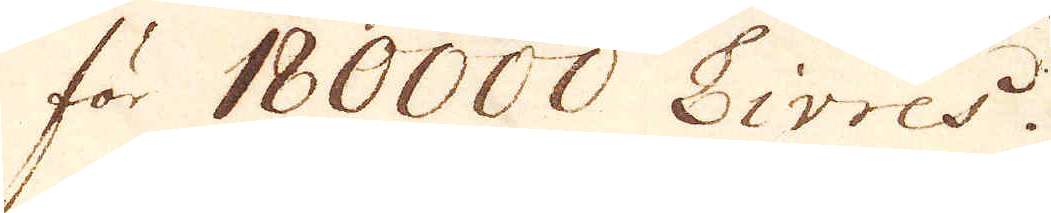för 180000 Livres.
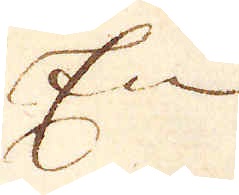En
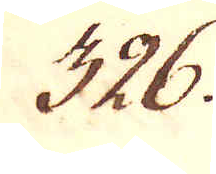326.
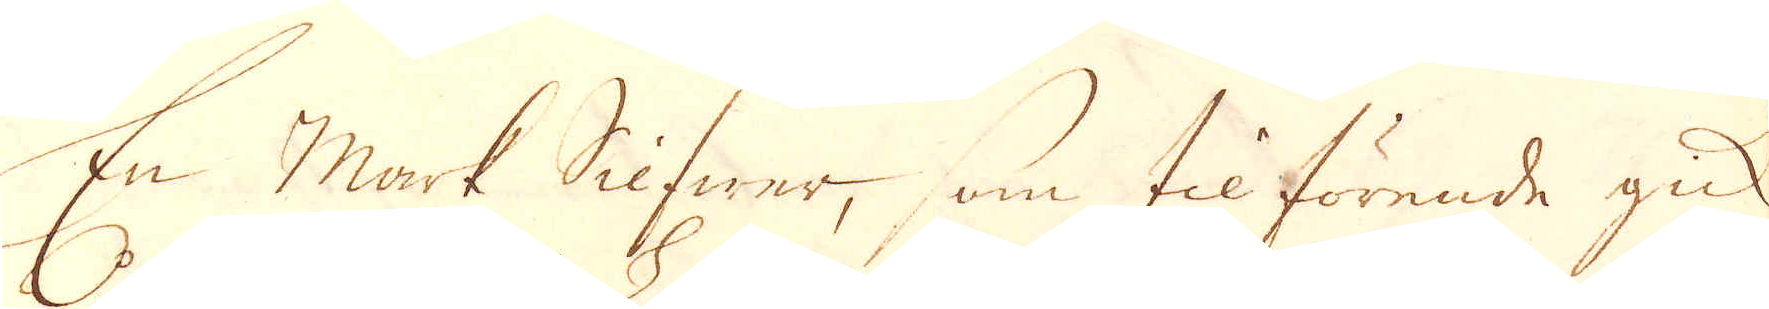En mark Slifwer, som til förende gick
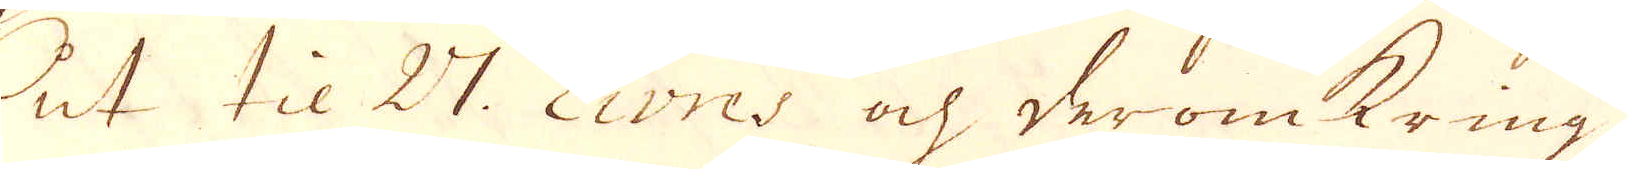ut til 27 Livres och deromkring
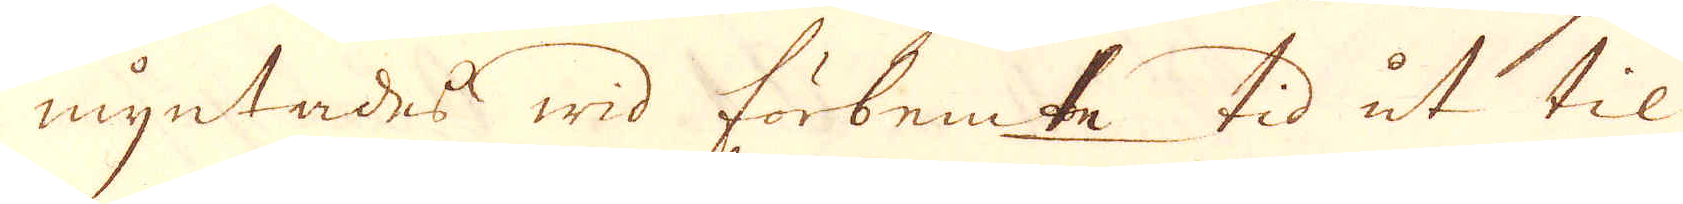myntades wid förbemte tid ut til
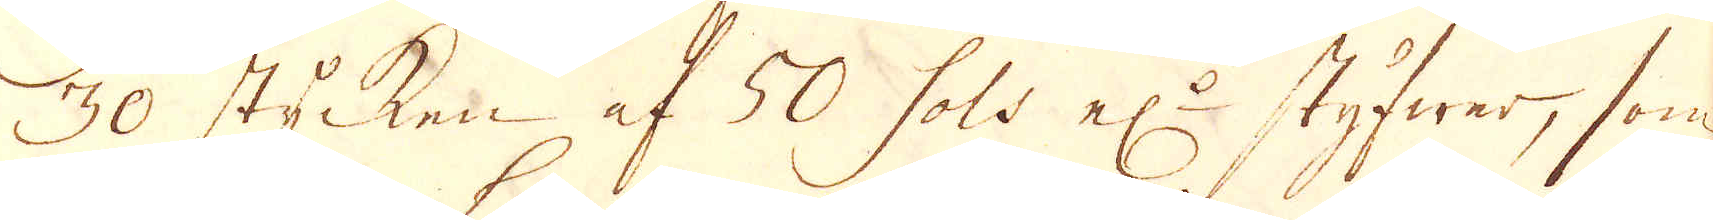30 stycken af 50 sols el:r styfwer, som
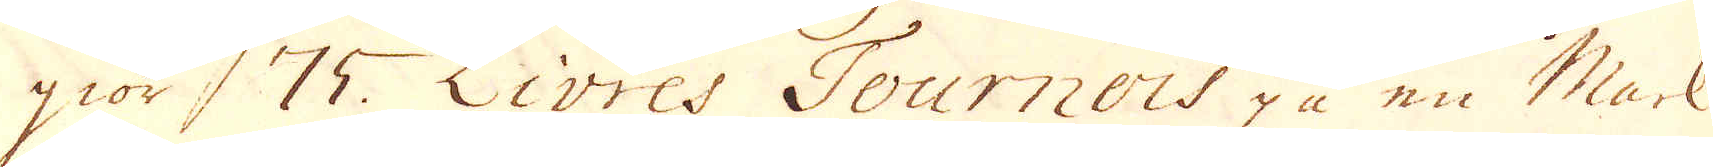giör 75. Livres Tournois på en Mark
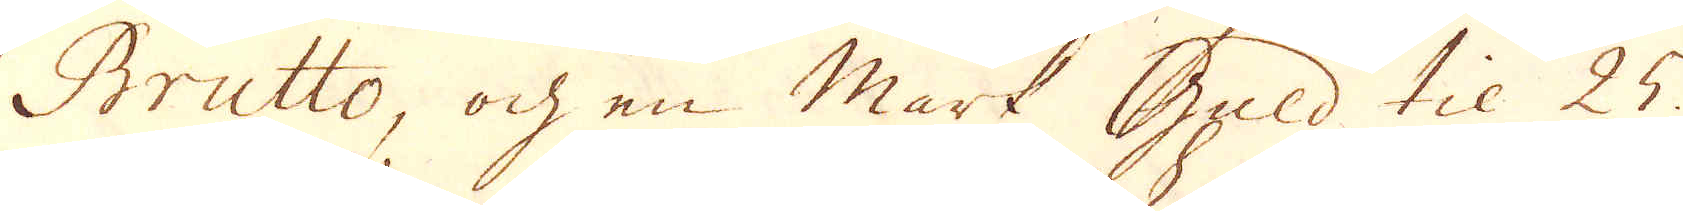Brutto, och en mark Guld til 25
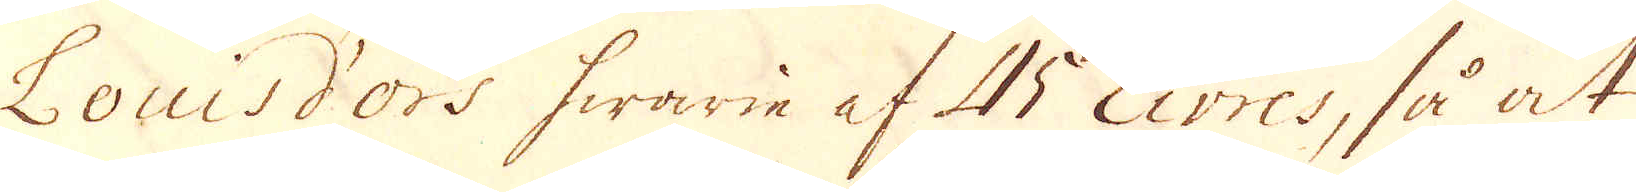Louisd'ors hwarie af 45 Livres, så at
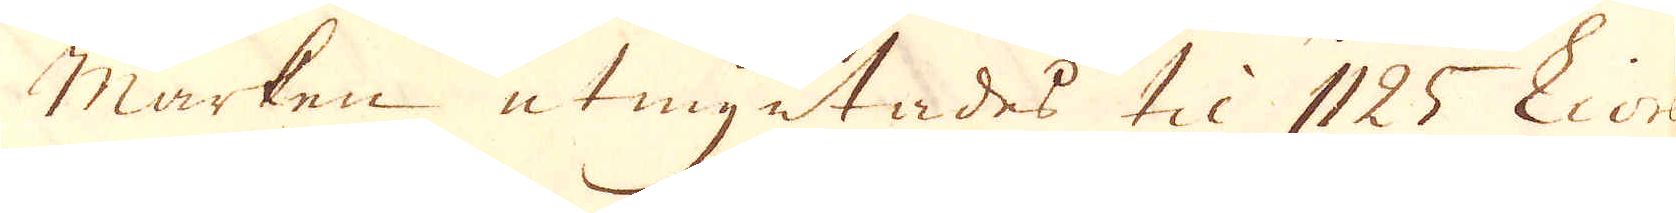marken utmyntades til 1125 Livres
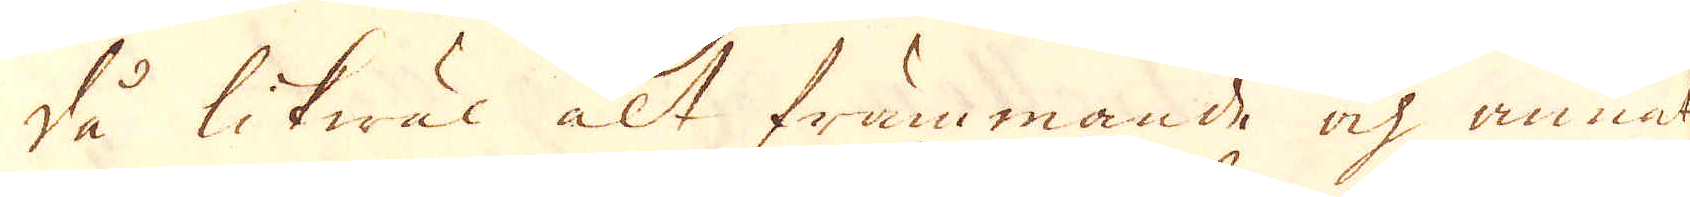då likwäl alt främmande och annat
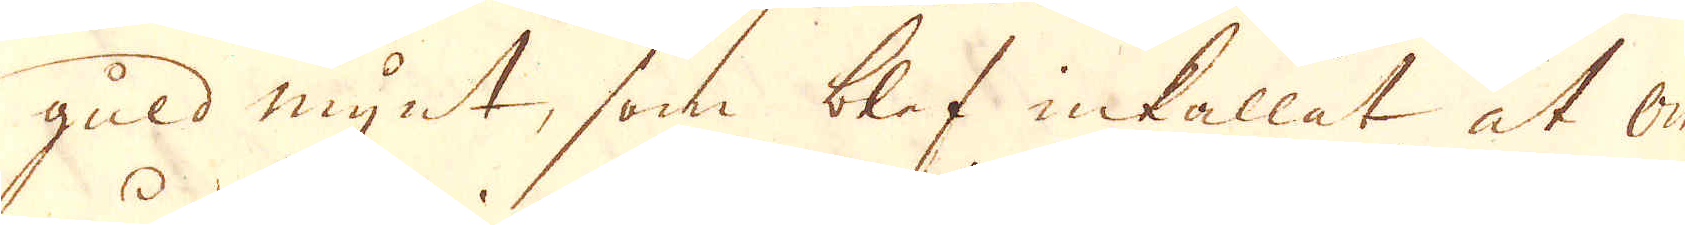guld mynt, som blef inkallat at om-
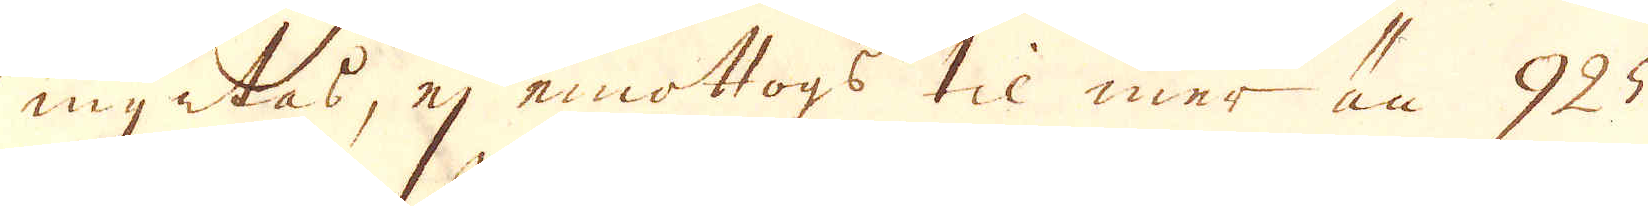myntas, ej emottogs til mer än 925
